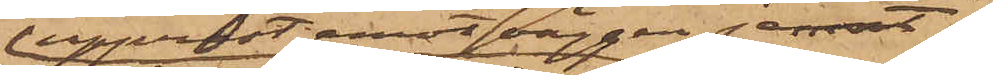upprest emot väggen jemnt
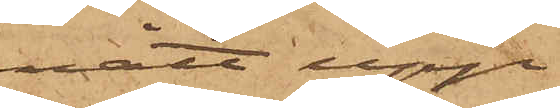nått upp
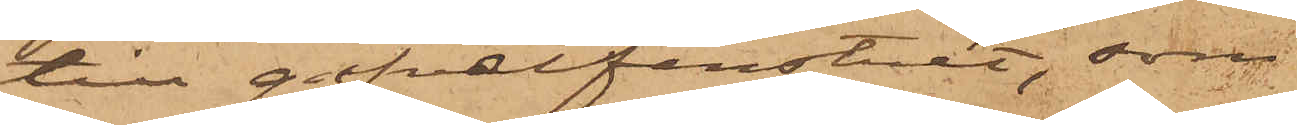till gafvelfönstret, som
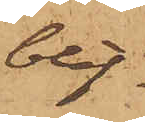blif¬
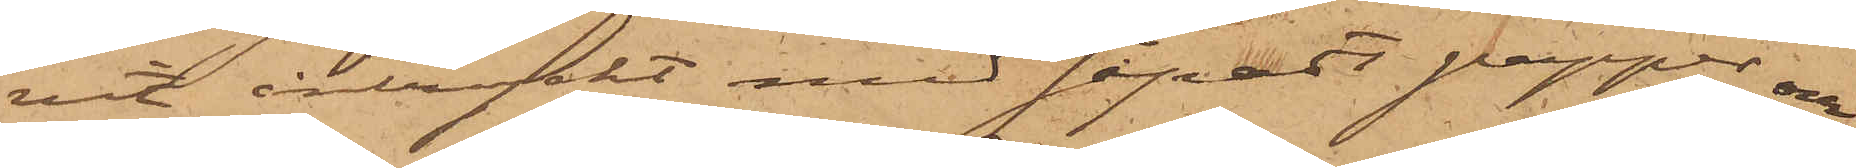vit intryckt med såpadt papper, och
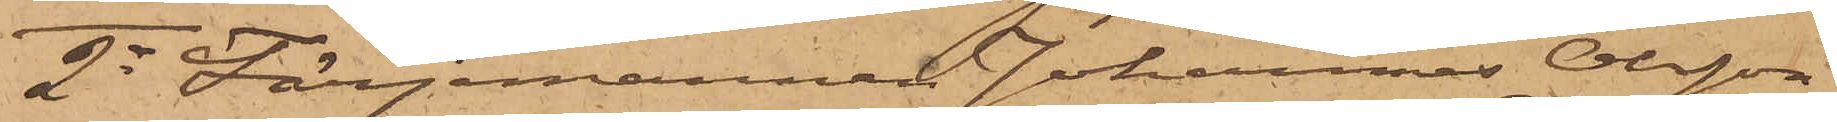2o Färjemannen Johannes Olsson
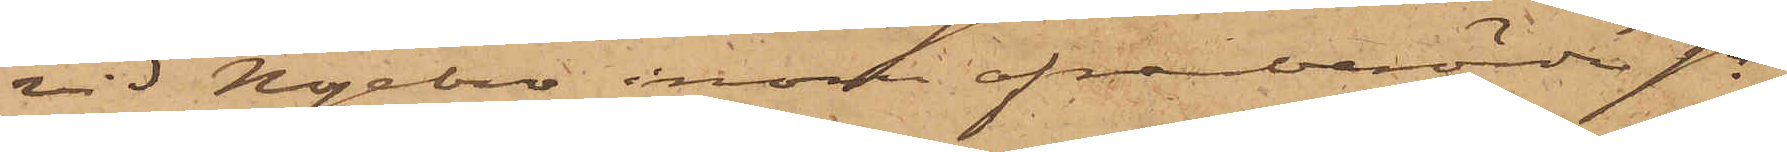vid Nyebro inom ofvanberörde sn,
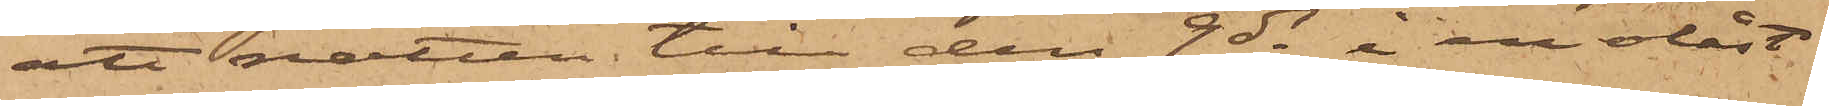att natten till den 9 ds i en olåst
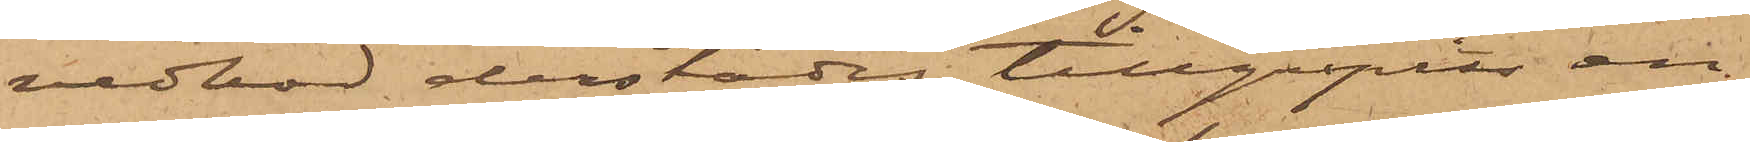vedbod derstädes tillgripits en
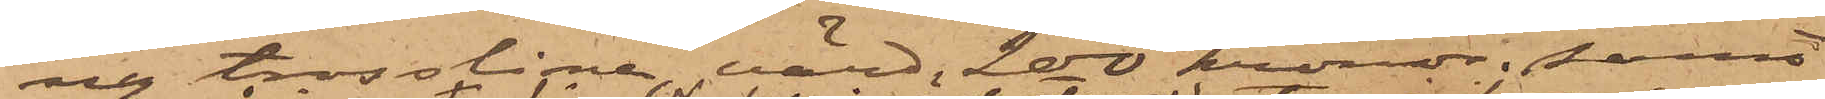ny trosslina, värd 200 kronor; samt
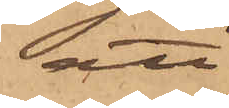att
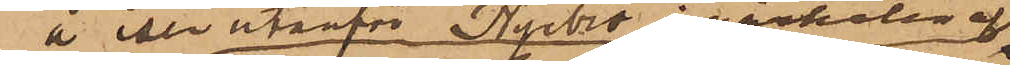å isen utanför Nyebro i närheten af
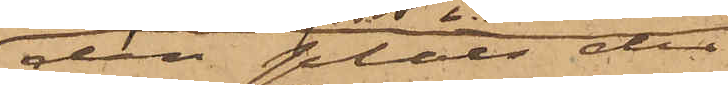den plats der
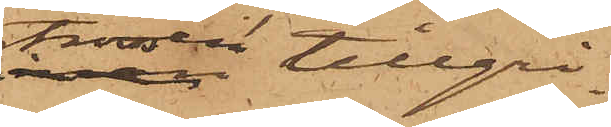trossen tillgri¬
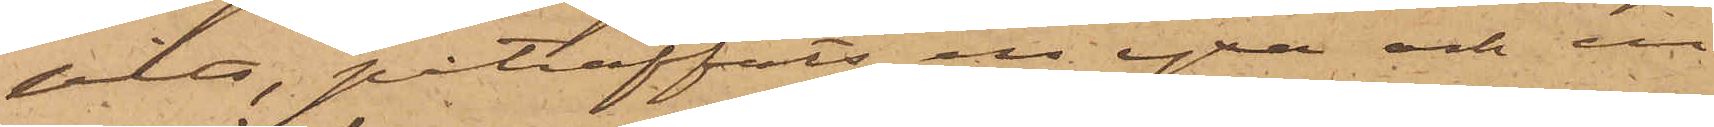pits, påträffats en yxa och en
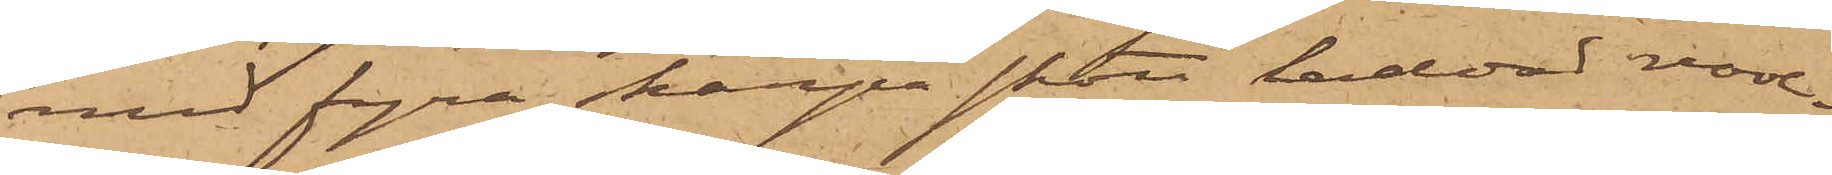med fyra skarpa skott laddad revol¬
